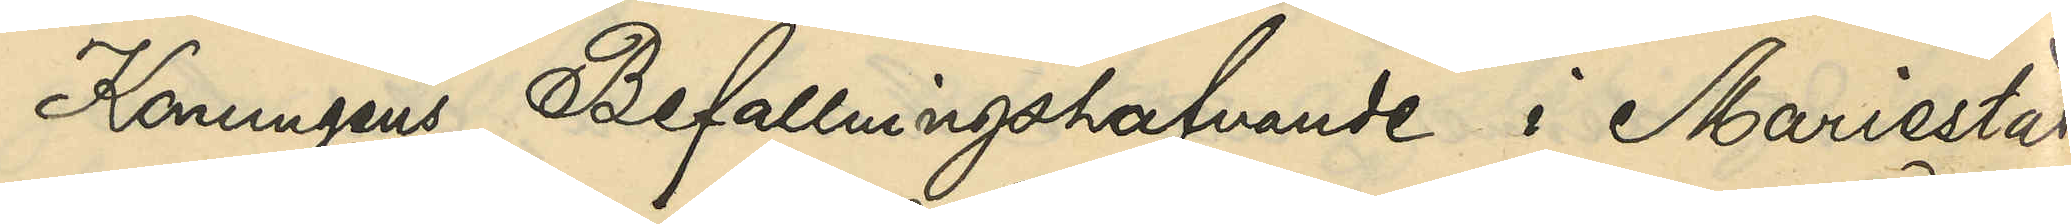Konungens Befallningshafvande i Mariestad
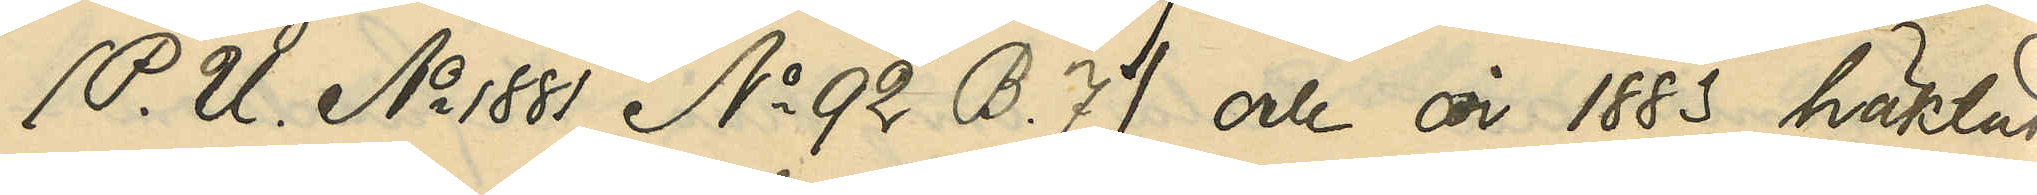(P. U. No 1881 No 92 B. 7) och år 1883 häktad
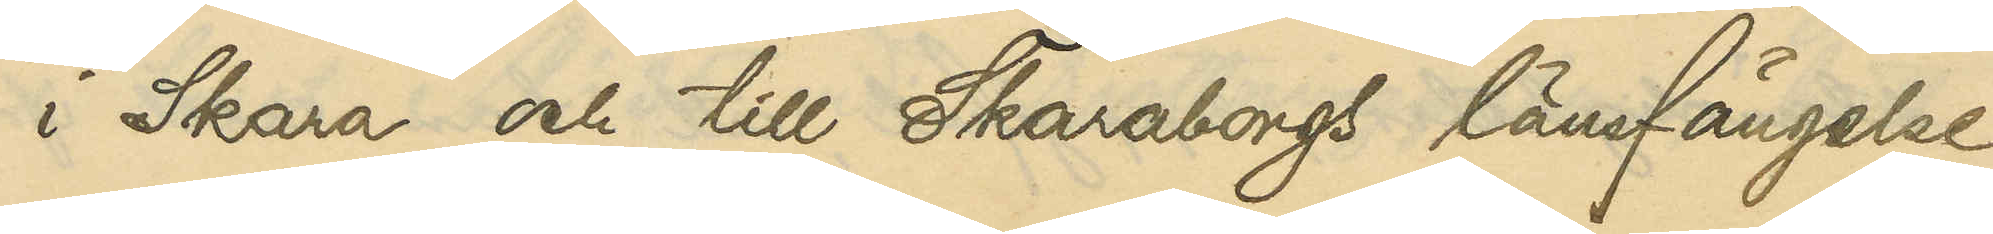i Skara och till Skaraborgs länsfängelse
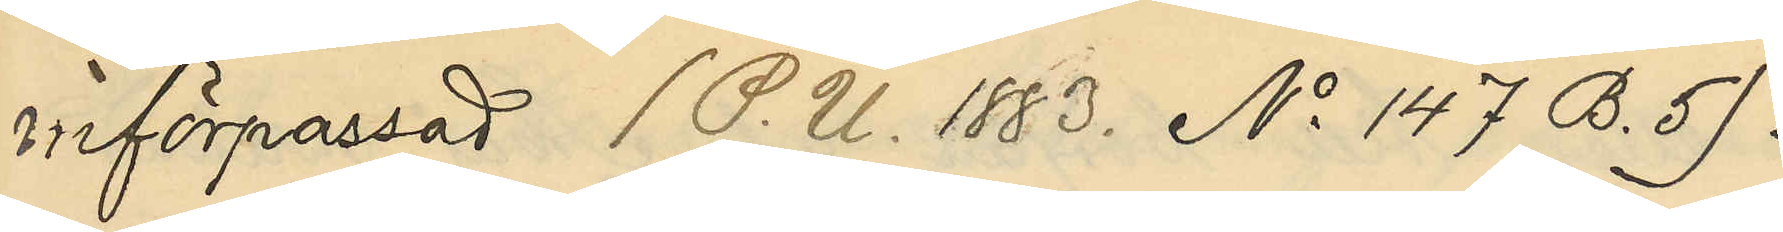införpassad (P. U. 1883 No 147 B. 5).
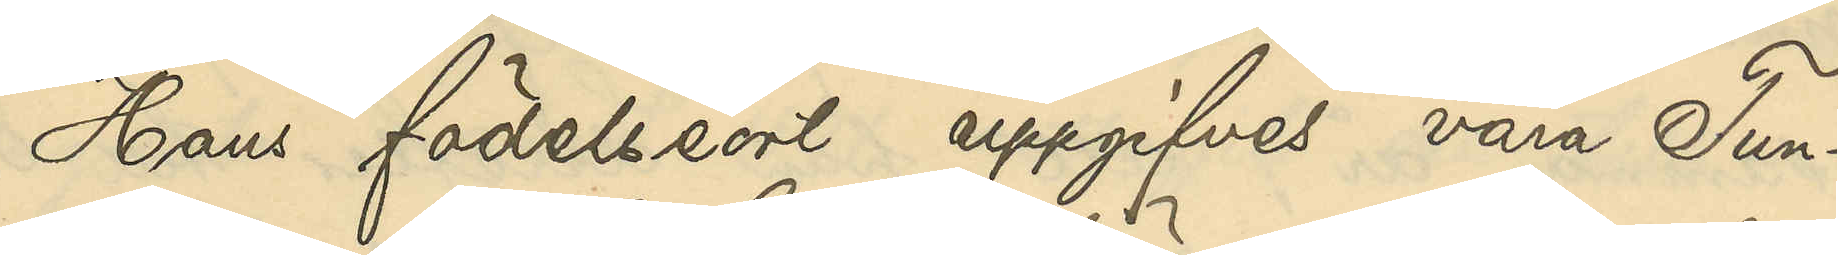Hans födelseort uppgifves vara Tun¬
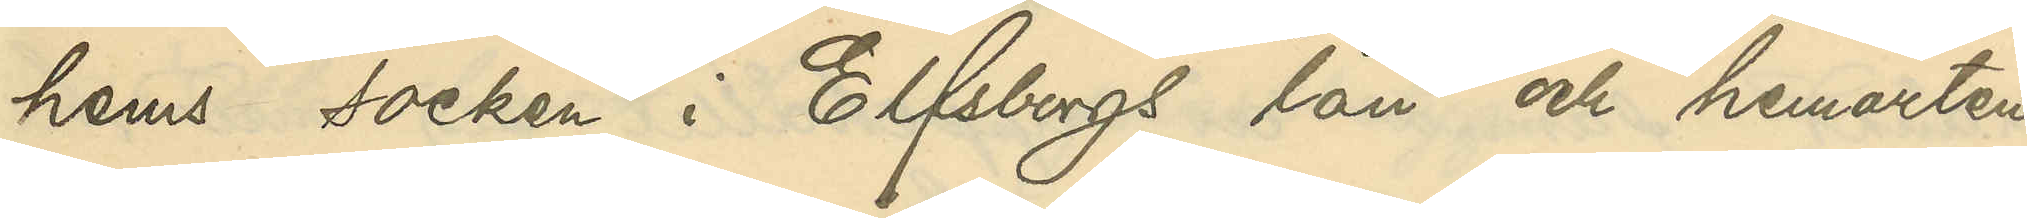hems socken i Elfsborgs län och hemorten
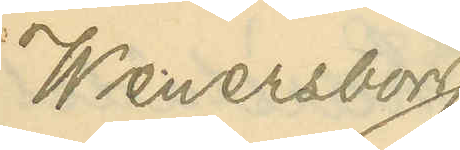Wenersborg.
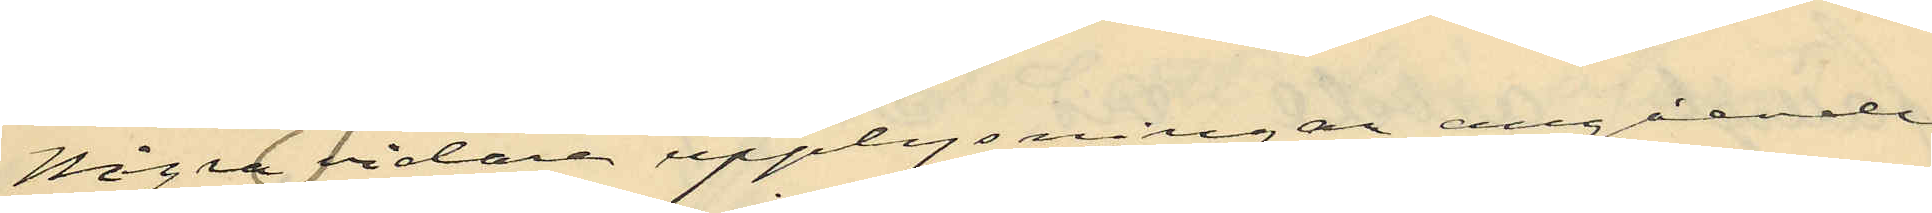Några vidare upplysningar angående
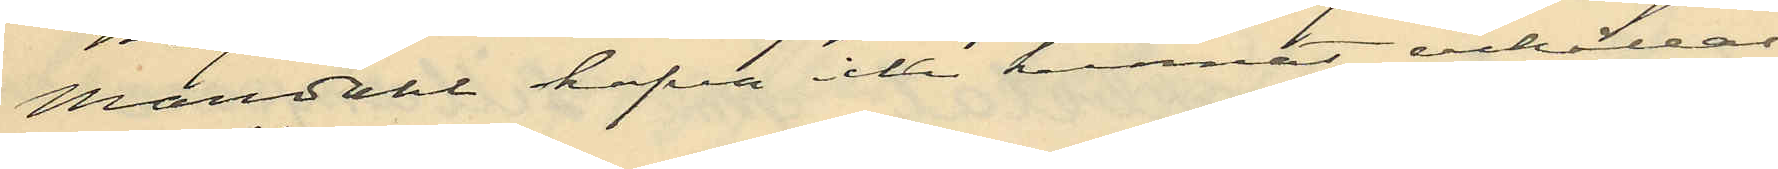Mandahl hafva icke kunnat anställas.
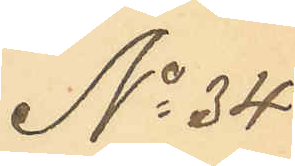No 34
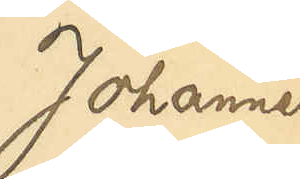Johannes
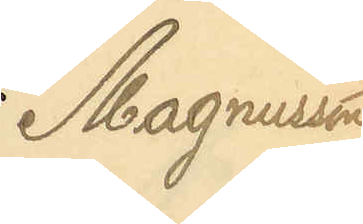Magnusson
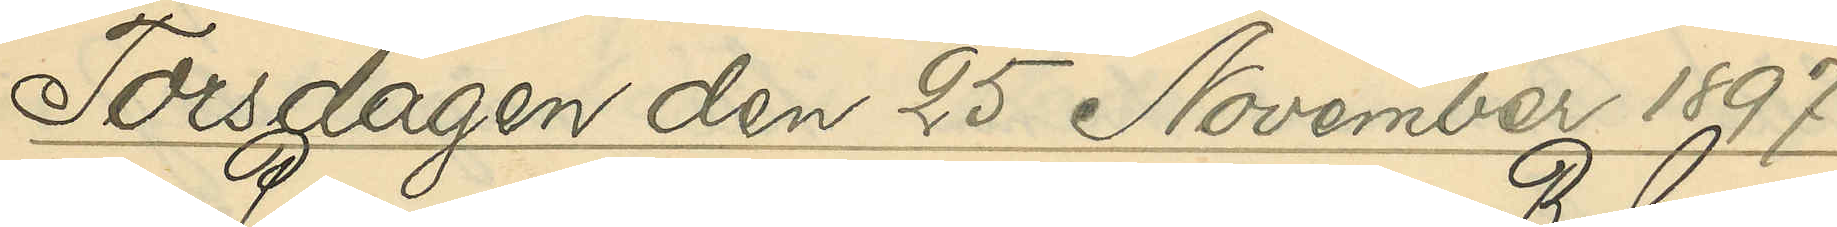Torsdagen den 25 November 1897.
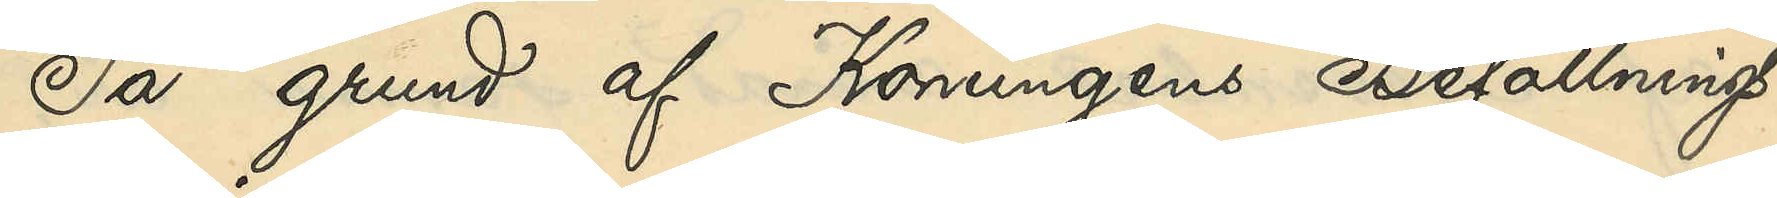På grund af Konungens Befallnings¬
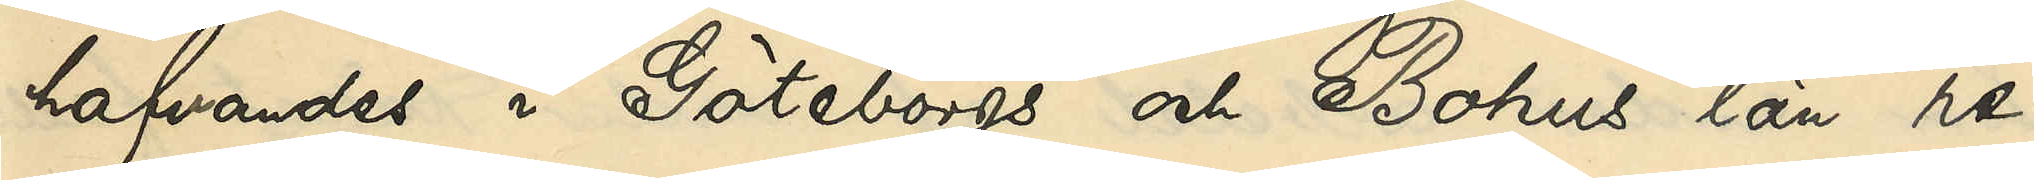hafvandes i Göteborgs och Bohus län re¬
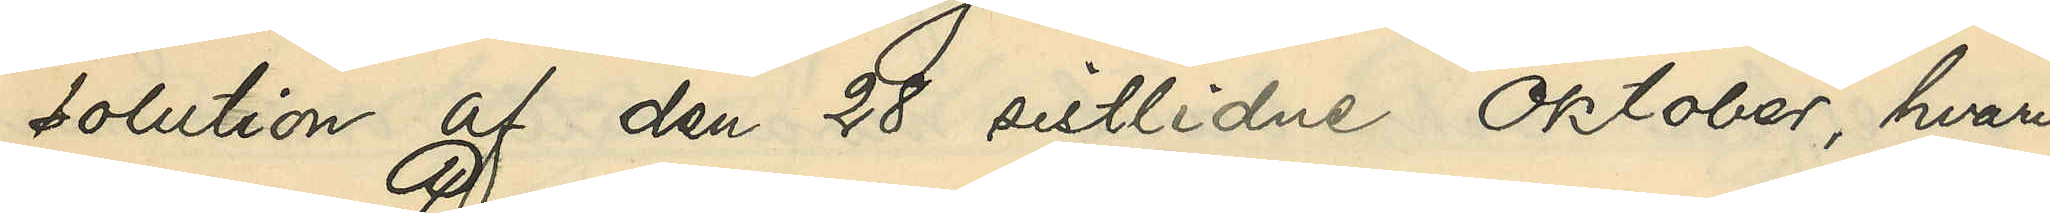solution af den 28 sistlidne Oktober, hvari¬
